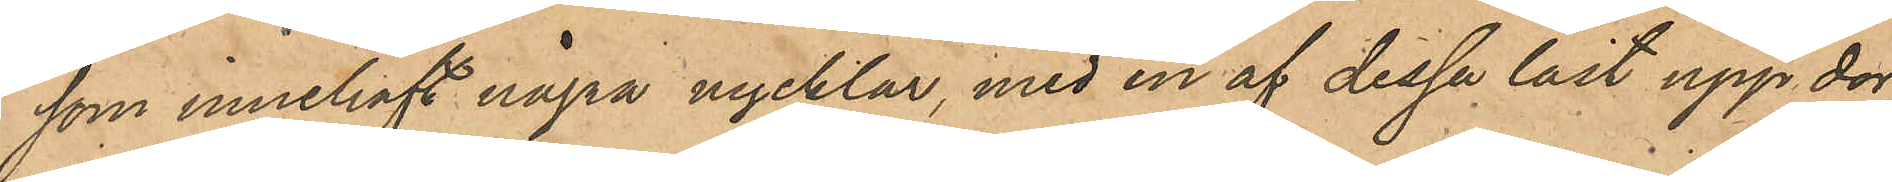som innehaft några nycklar, med en af dessa låst upp dör¬
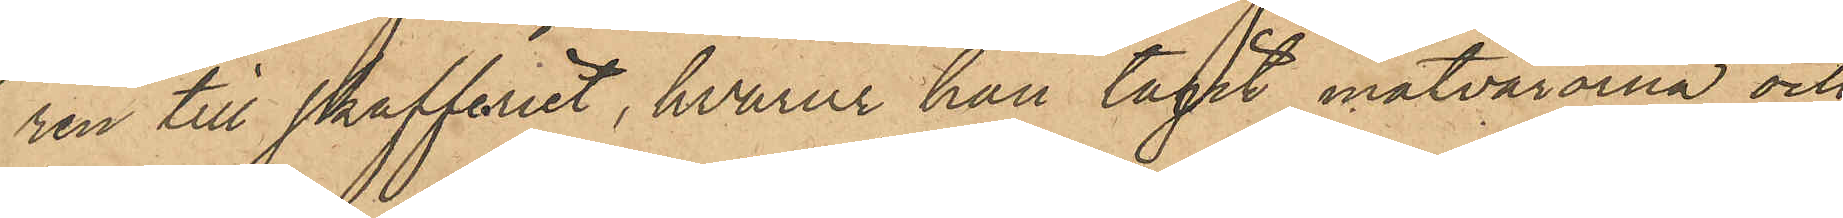ren till skafferiet, hvarur han tagit matvarorna och
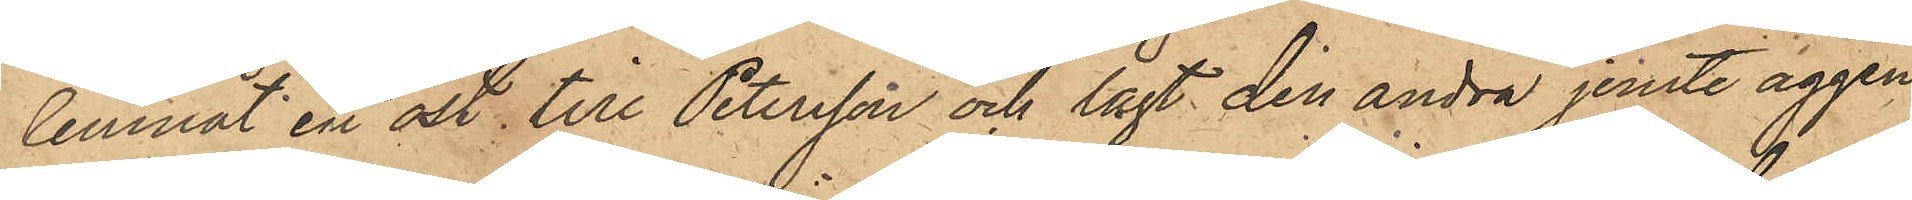lemnat en ost till Petersson och lagt den andra jemte äggen
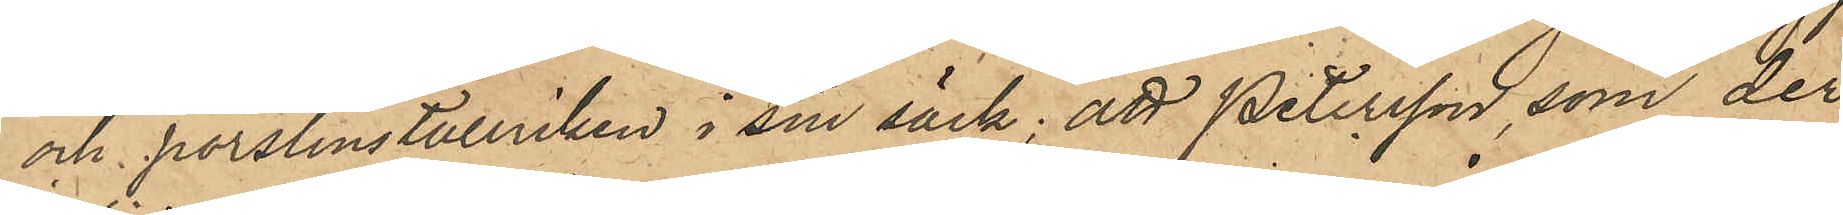och porslinstallriken i sin säck; att Petersson, som der
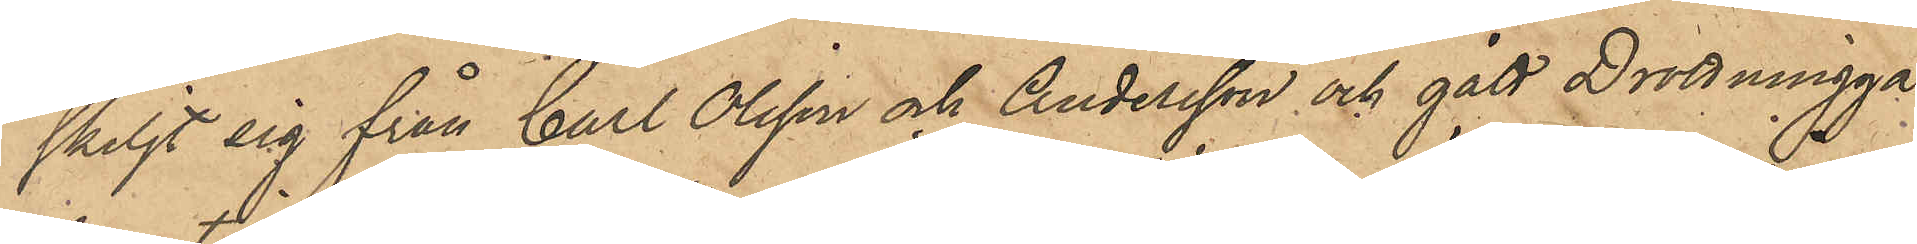skiljt sig från Carl Olsson och Andersson och gått Drottningga¬
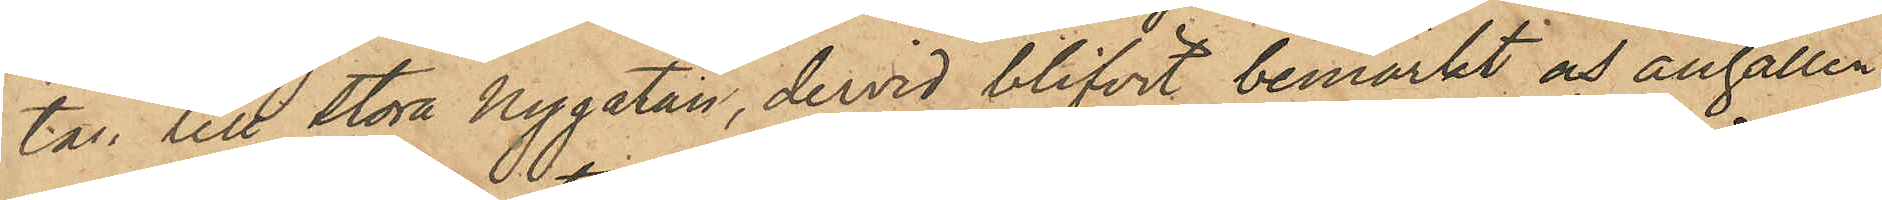tan till Stora Nygatan, dervid blifvit bemärkt och anhållen
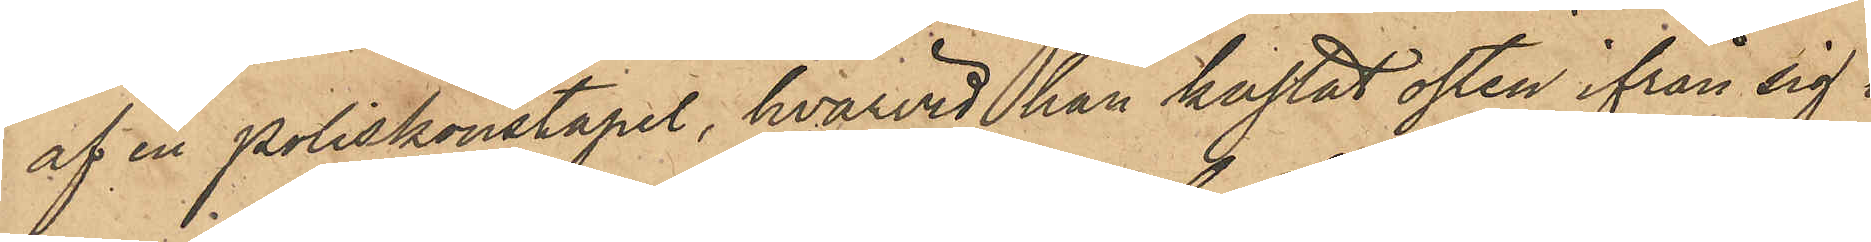af en poliskonstapel, hvarvid han kastat osten ifrån sig i
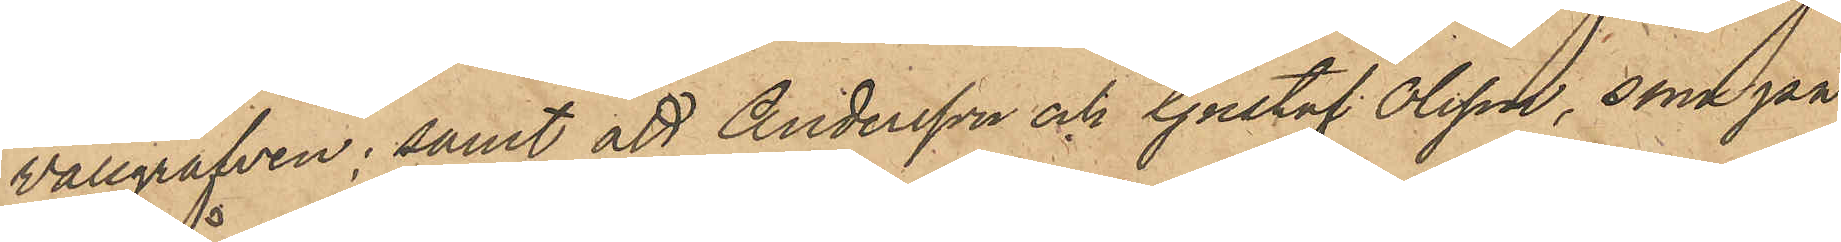Wallgrafven; samt att Andersson och Gustaf Olsson, som på
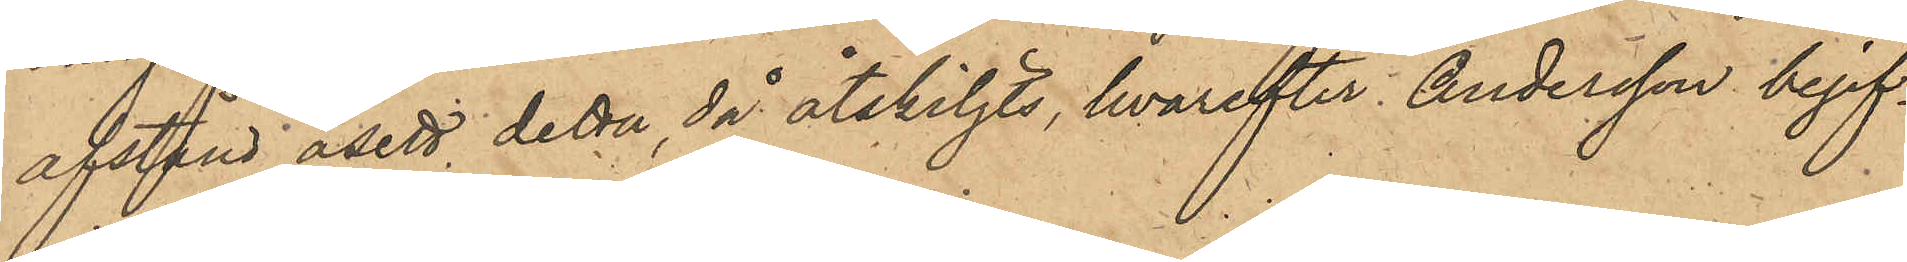afstånd åsett detta, då åtskiljts, hvarefter Andersson begif¬
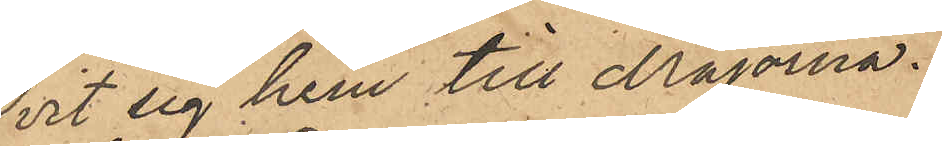vit sig hem till Majorna.
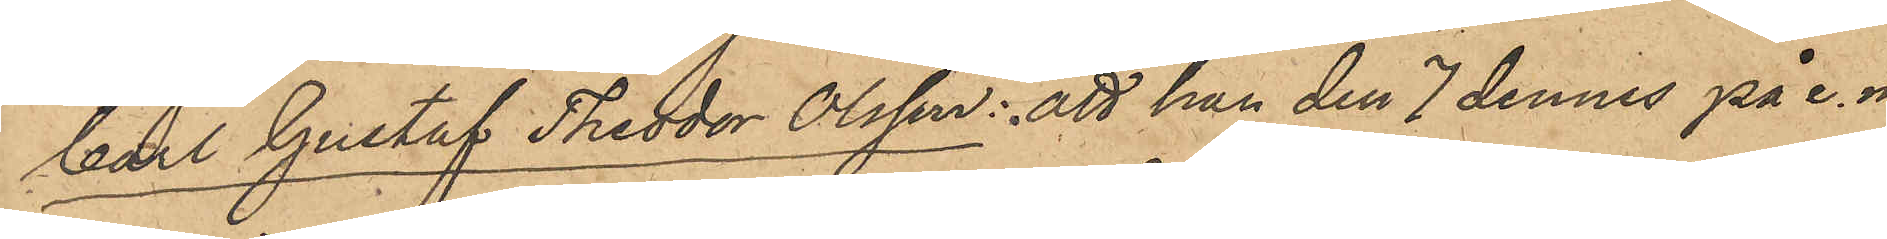Carl Gustaf Theodor Olsson: att han den 7 dennes på e. m.
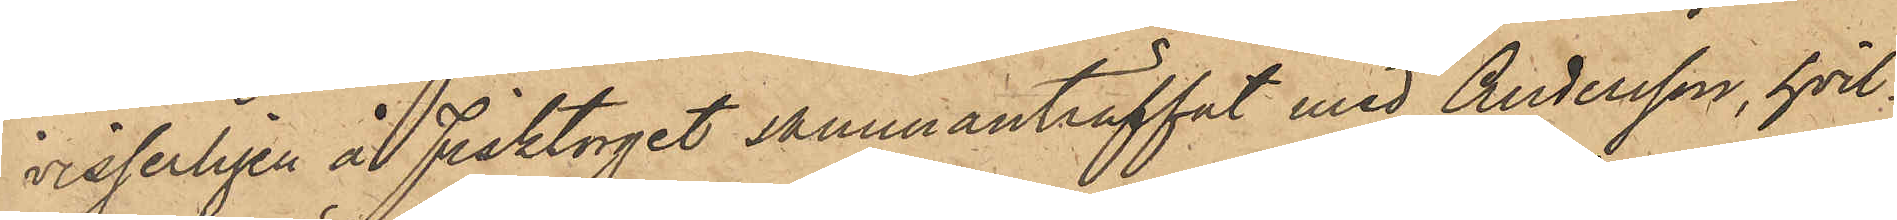visserligen å Fisktorget sammanträffat med Andersson, hvil¬
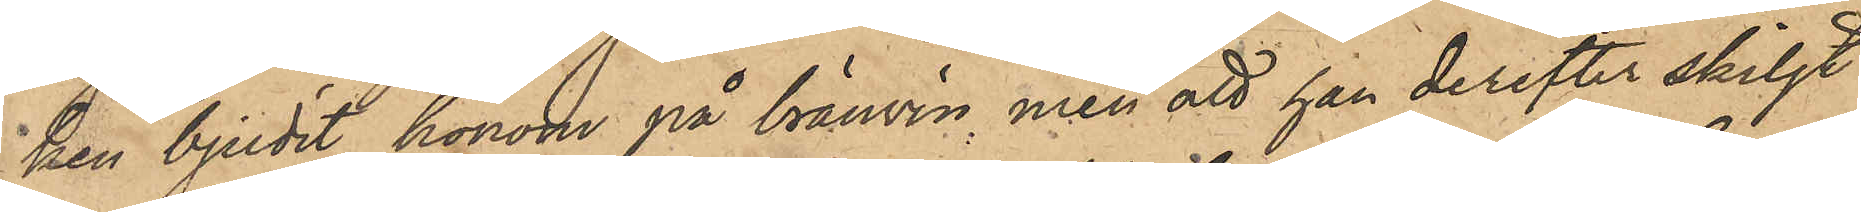ken bjudit honom på bränvin men att han derefter skiljt
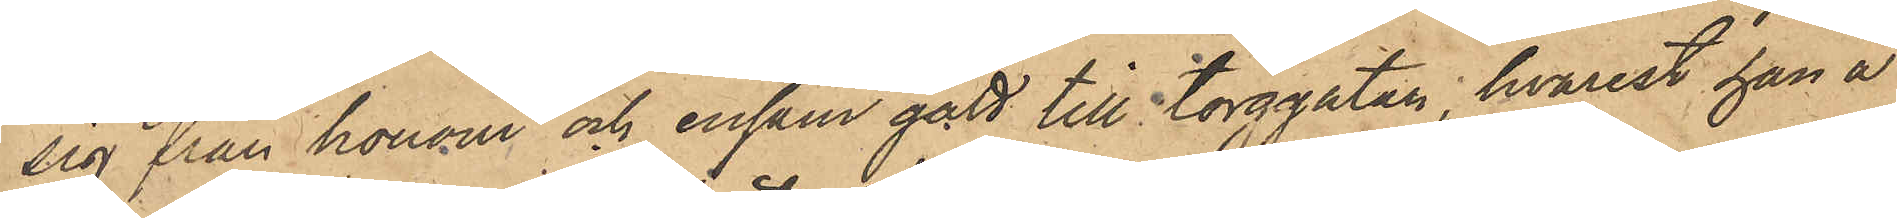sig från honom och ensam gått till torggatan, hvarest han å
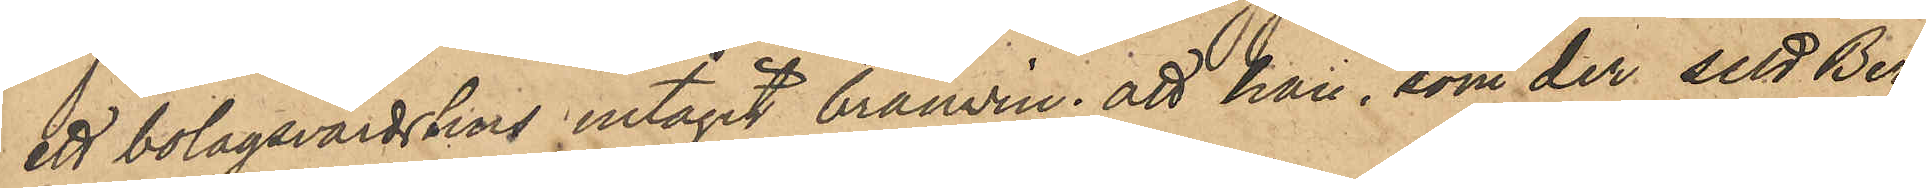ett bolagsvärdshus intagit bränwin; att han, som der sett Berg¬
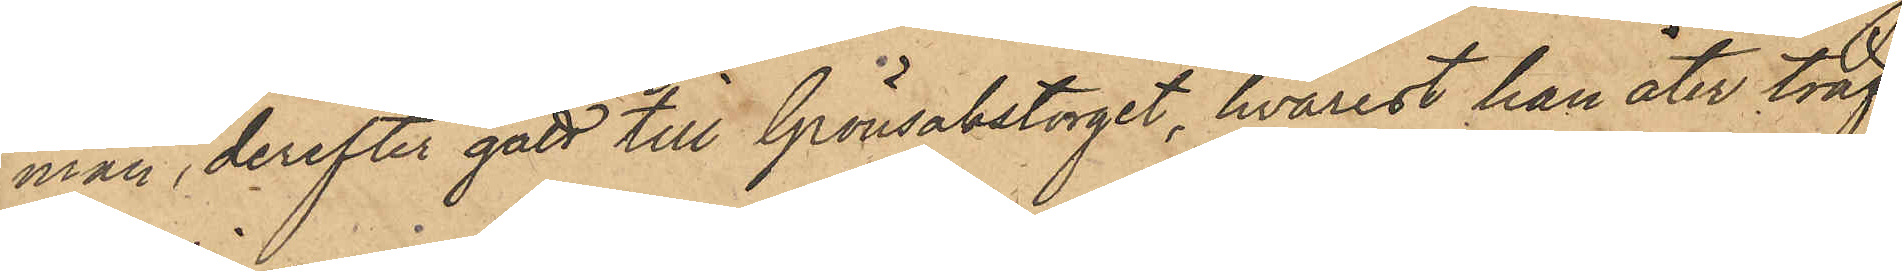man, derefter gått till Grönsakstorget, hvarest han åter träf¬
